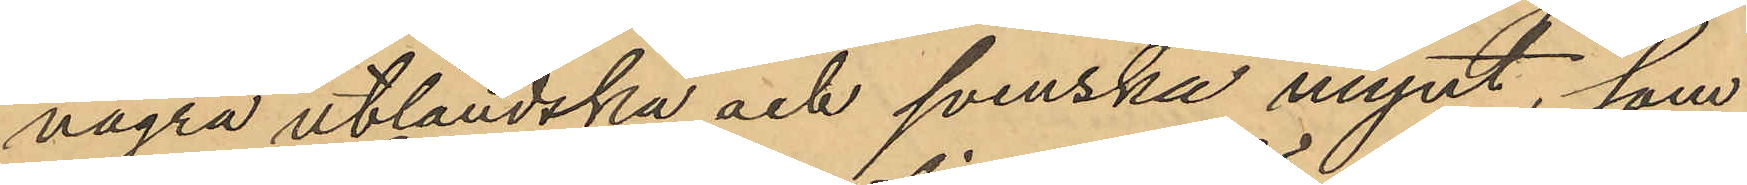några utländska och svenska mynt, som
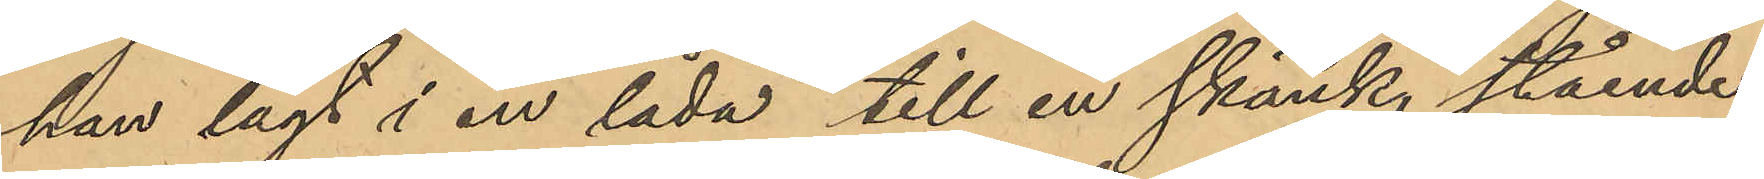han lagt i en låda till en skänk stående
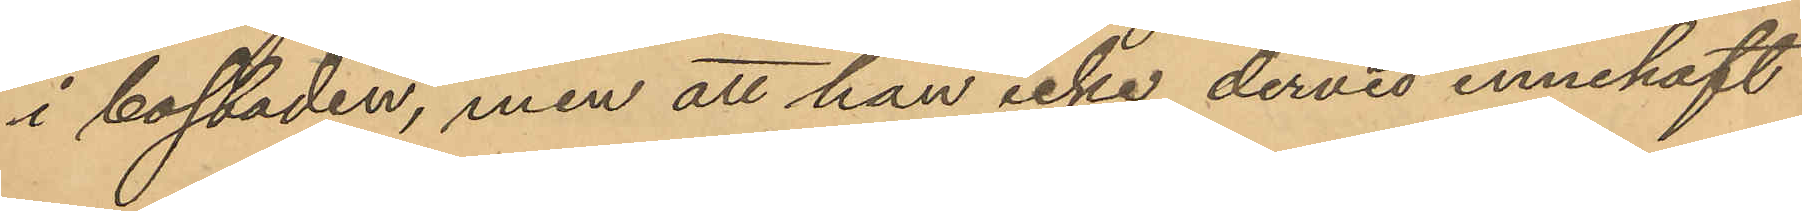i bostaden, men att han icke dervid innehaft
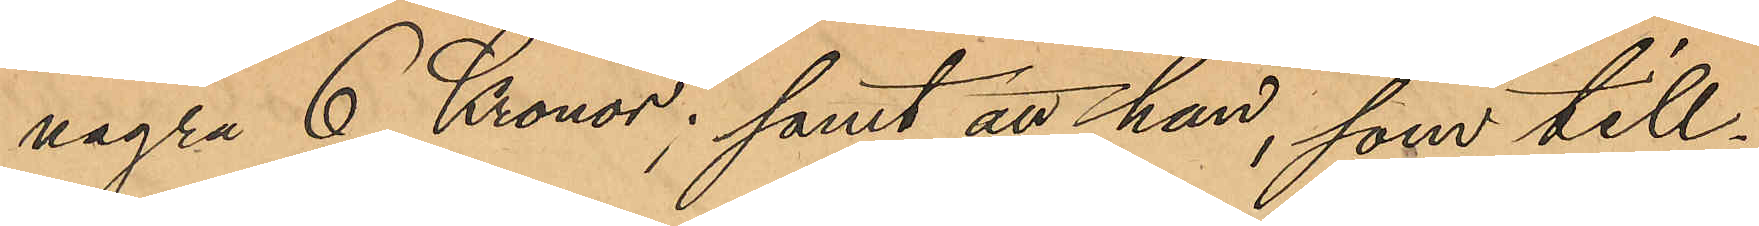några 6 Kronor; samt att han, som till¬
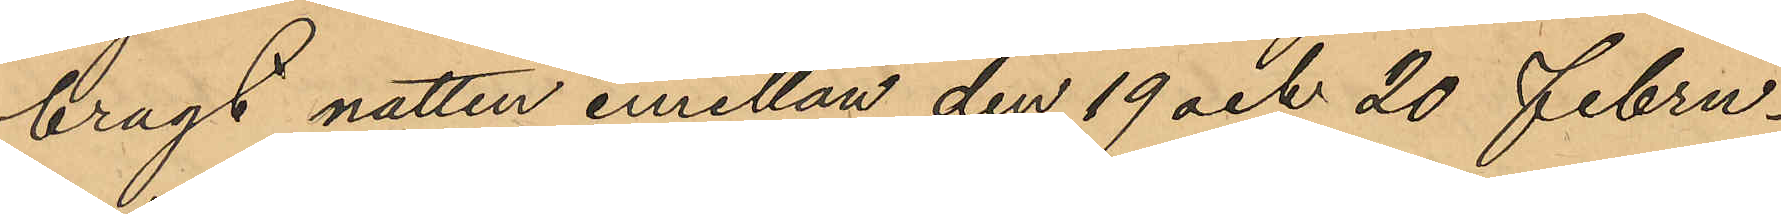bragt natten emellan den 19 och 20 Febru¬
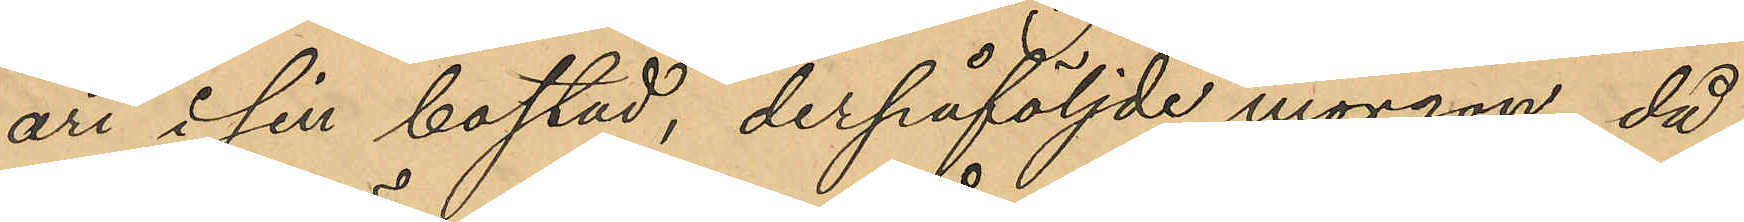ari i sin bostad, derpåföljde morgon, då
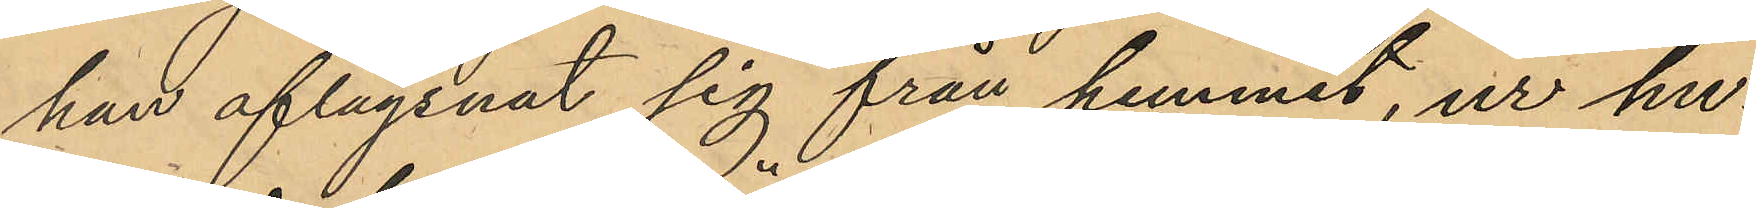han aflägsnat sig från hemmet, ur hu¬
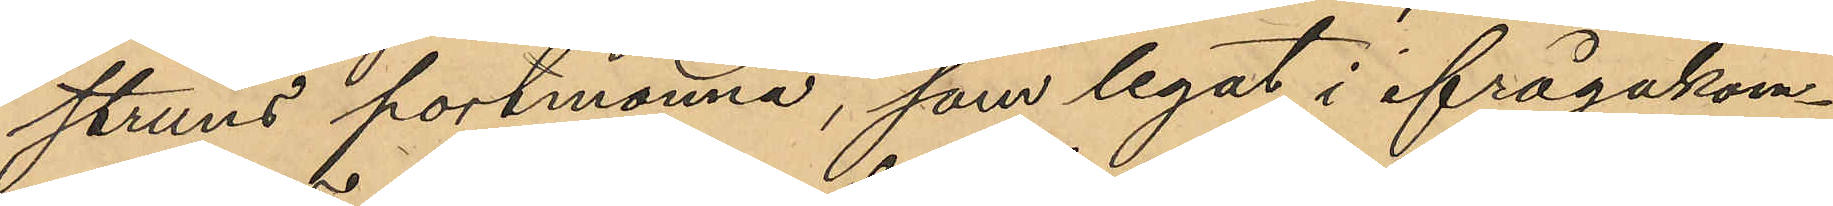struns portmonnä, som legat i ifrågakom¬
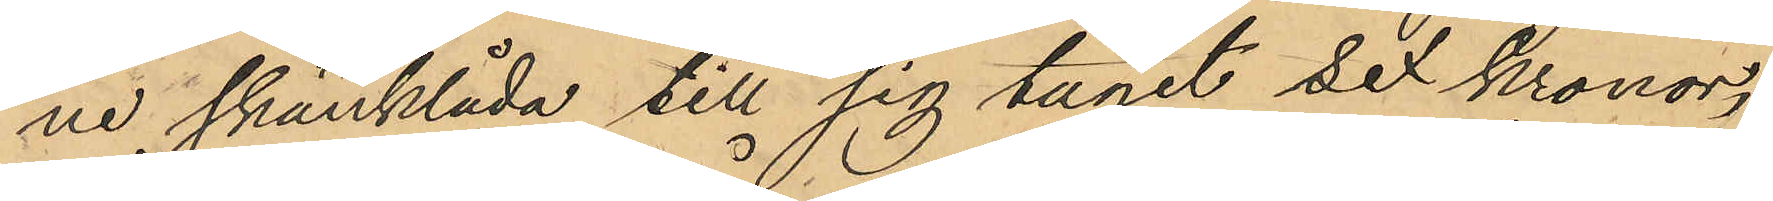ne skänklåda till sig tagit sex kronor,
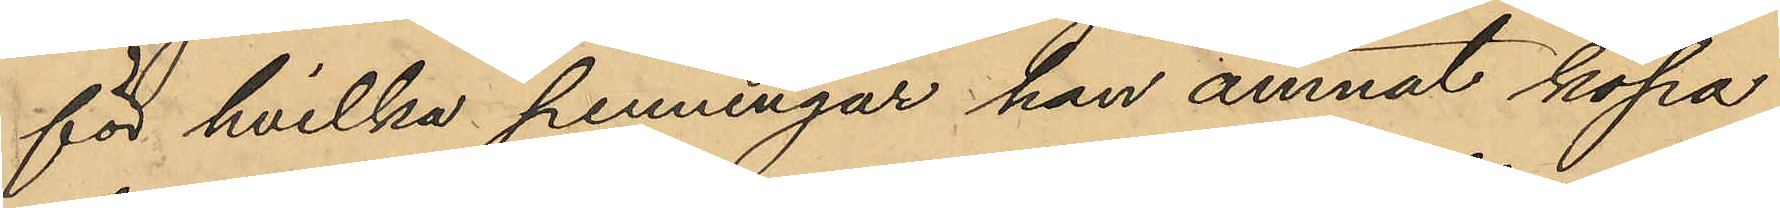för hvilka penningar han ämnat köpa
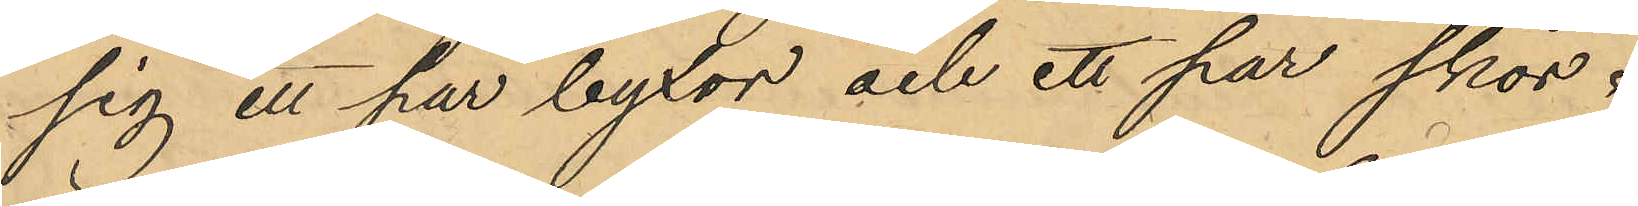sig ett par byxor och ett par skor;
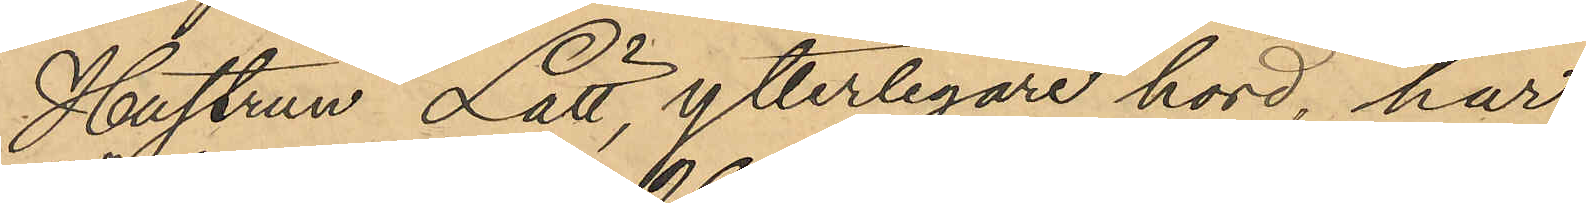Hustrun Lätt, ytterligare hörd, har
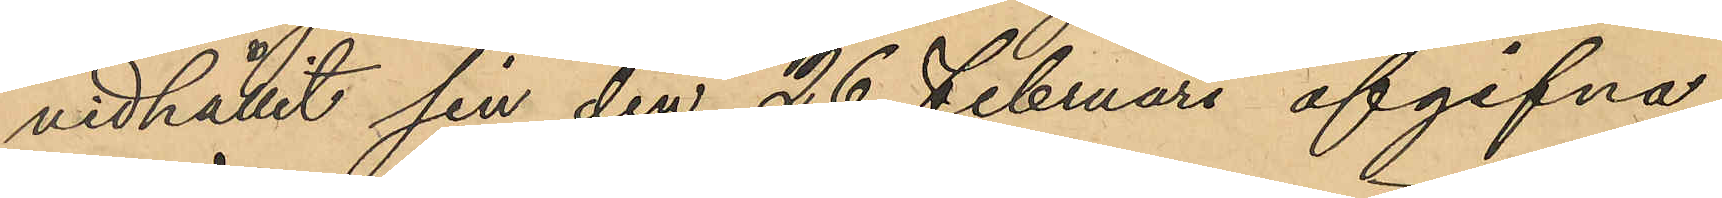vidhållit sin den 26 Februari afgifna
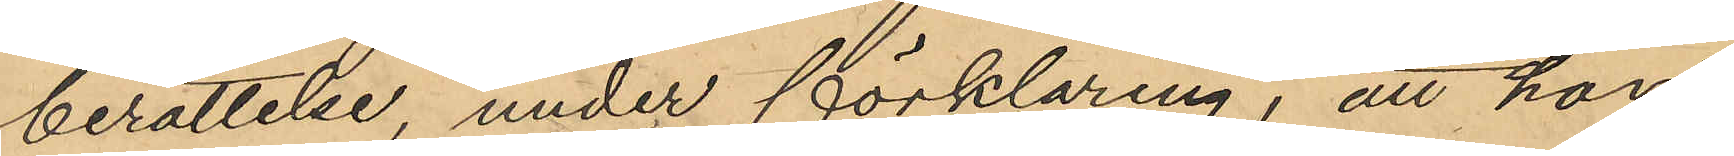berättelse, under förklaring, att hon
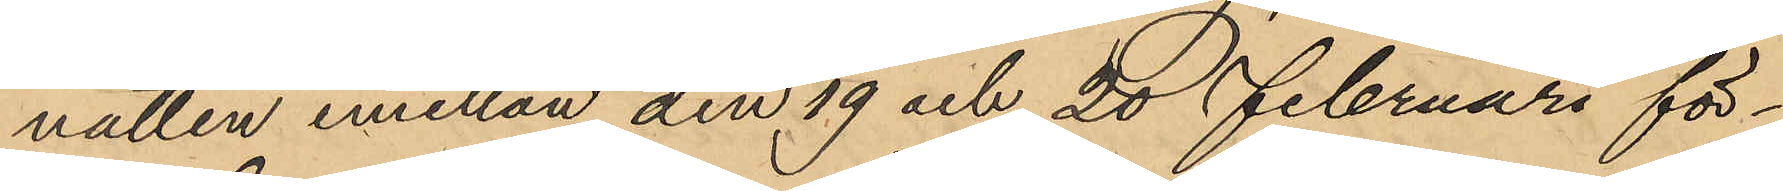natten emellan den 19 och 20 Februari för¬
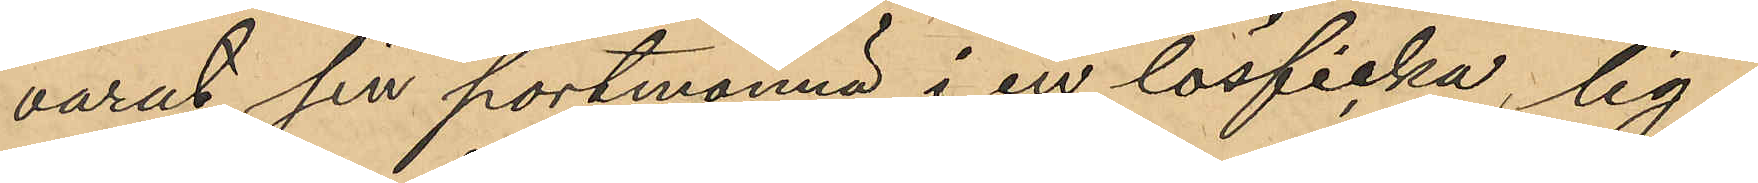varat sin portmonnä i en lösficka, lig¬
